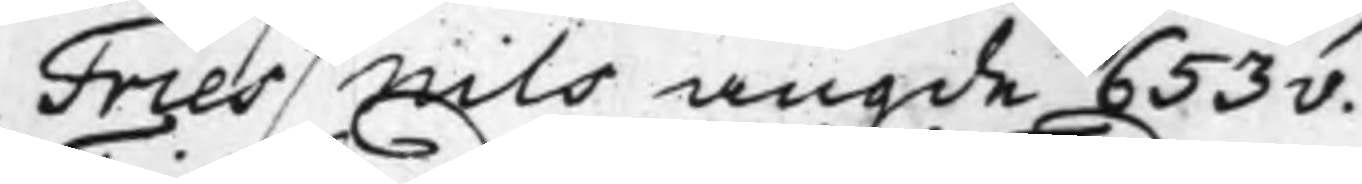Fries / Nils angde 653v.
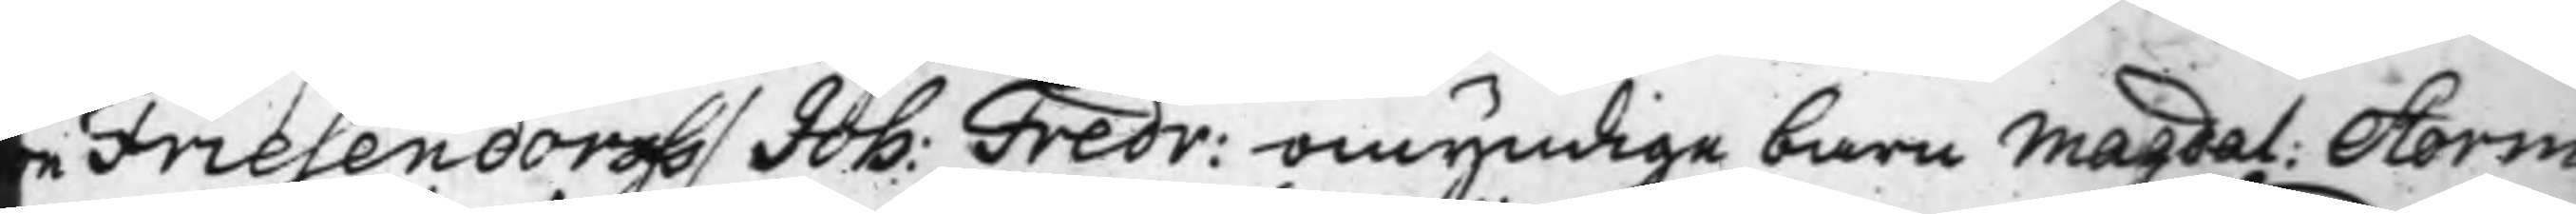on Friesendorff / Joh: Fredr: omyndige barn Magdal: Storm¬
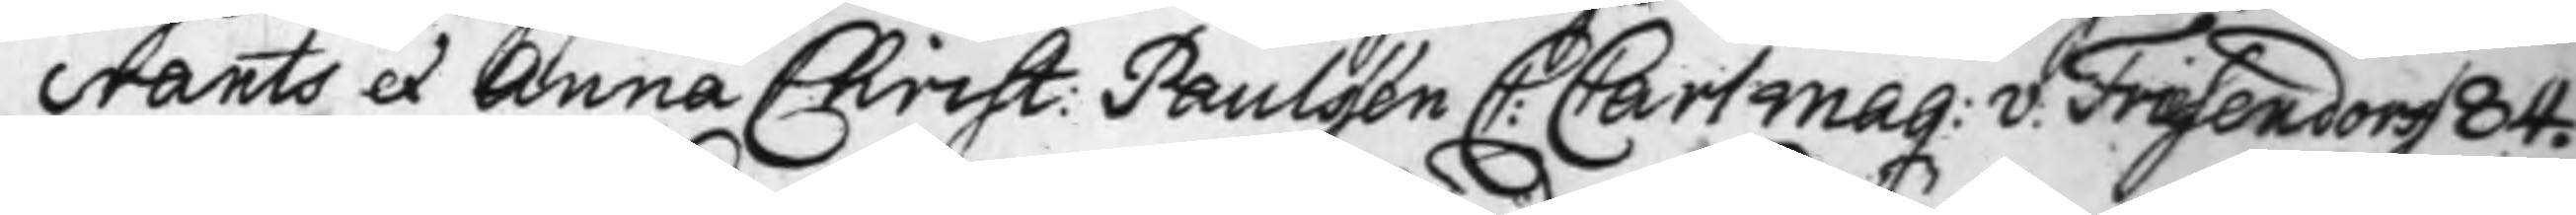crants et Anna Christ: Paulssén C: Carl Mag: v: Friesendorff 84.
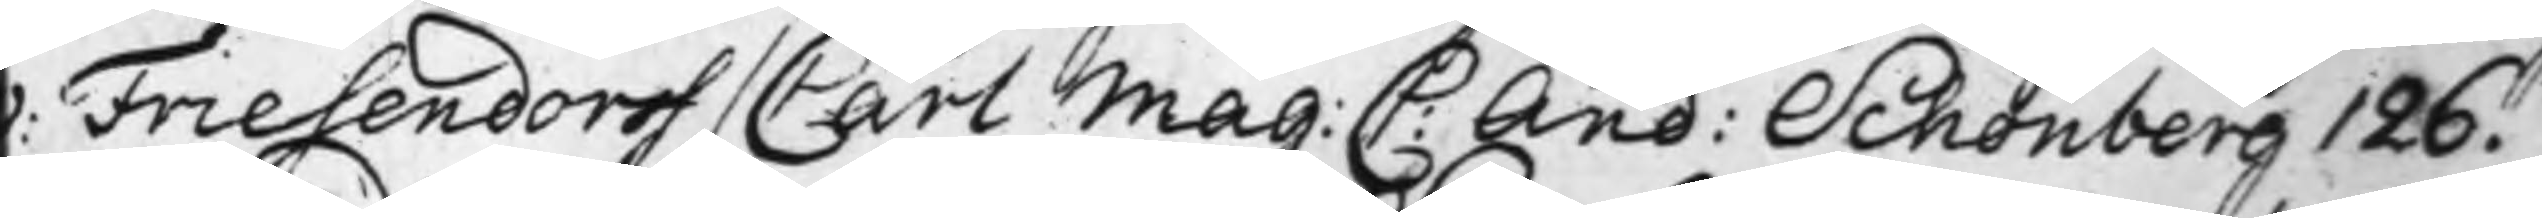v: Friesendorff / Carl Mag: C: And: Schönberg 126.
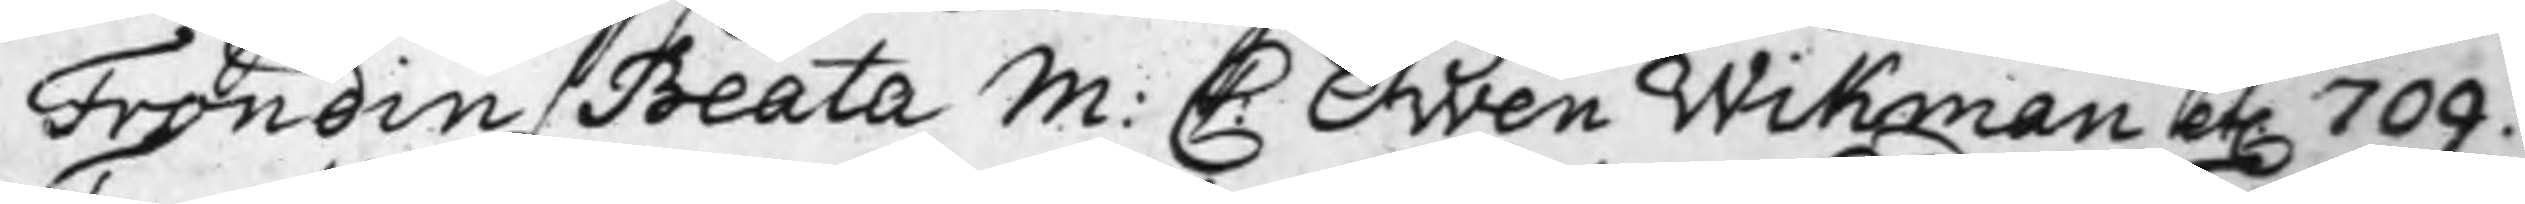Frondin / Beata M: C Swen Wikman etc. 709.
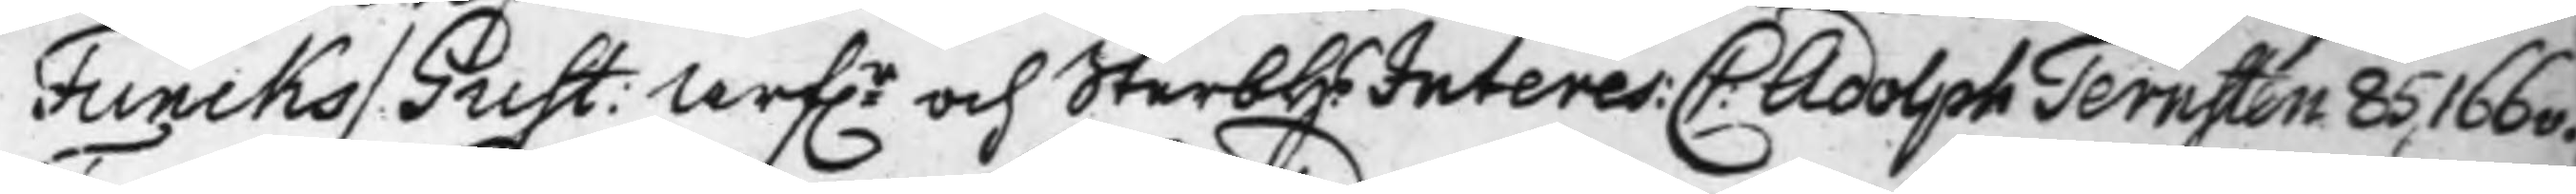Funcks Gust: Arfr och SterbhsInteres: C: Adolph Ternsten 85, 166v.
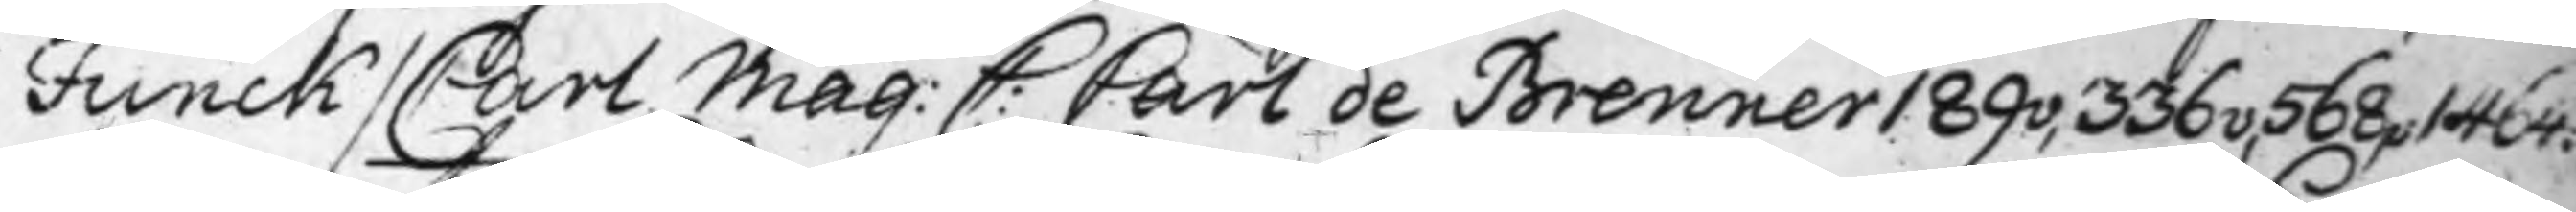Funck / Carl Mag: C: Carl de Brenner 189v, 336v, 568, 1464.
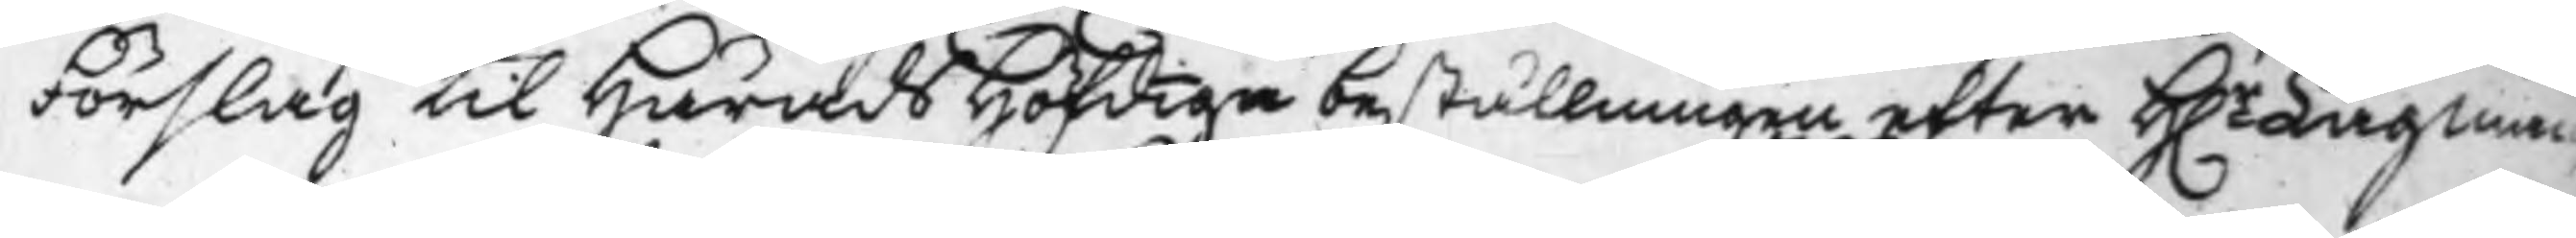Förslag til HäradsHöfdingebeställningen efter H.r Lagman¬
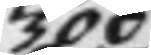300
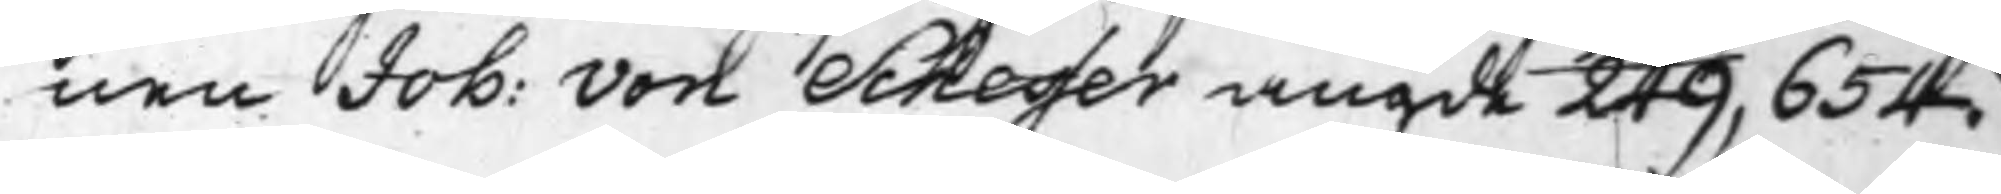nen Joh: von Scheffer angde 249, 654.
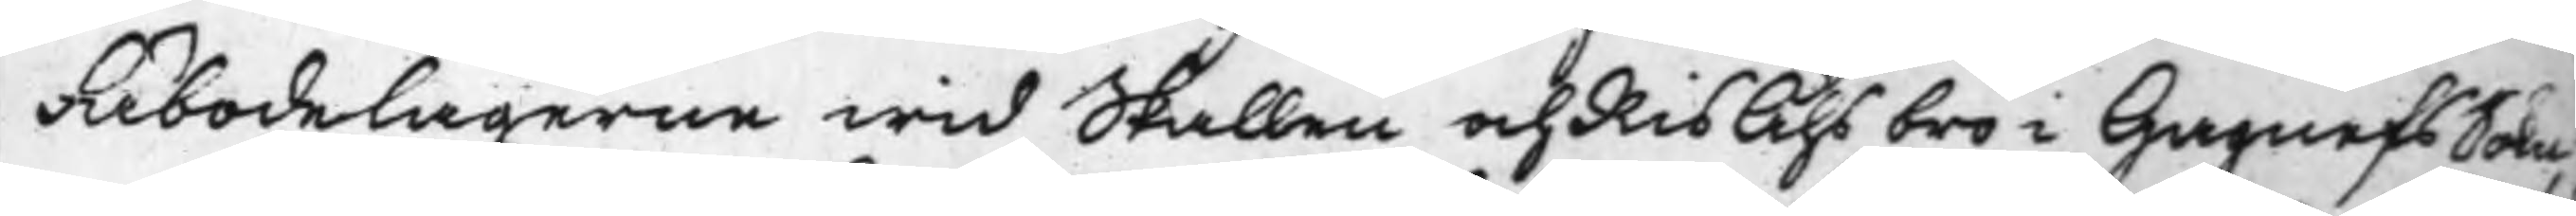Fäbodelagarna wid Skallen och RisÅhs bro i Gagnefs Sokn,
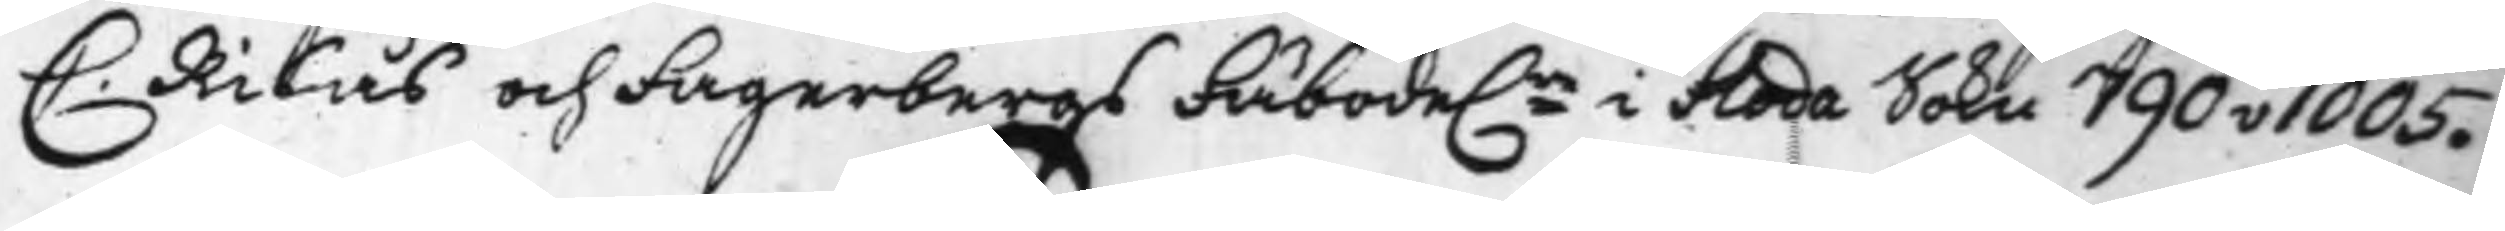C. Risås och Fagerbergs Fäboda.r i Floda Sokn 790v 1005.
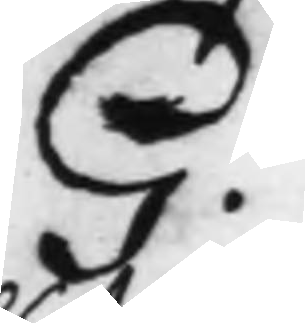G:
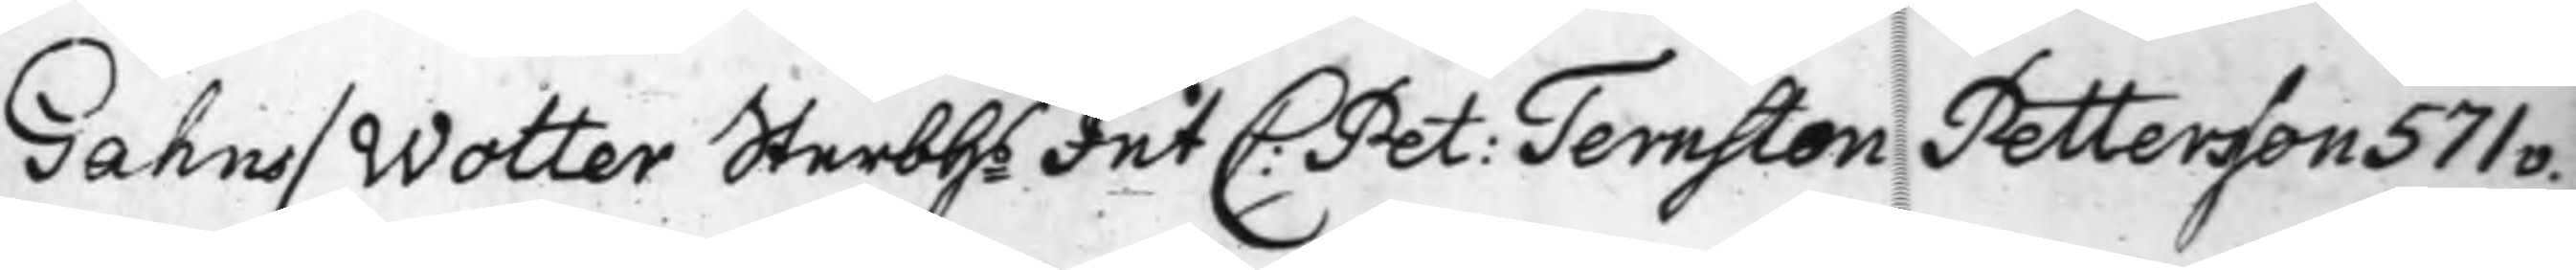Gahns / Wolter Sterbh.sInt C: Pet: Ternsten Pettersson 571v.
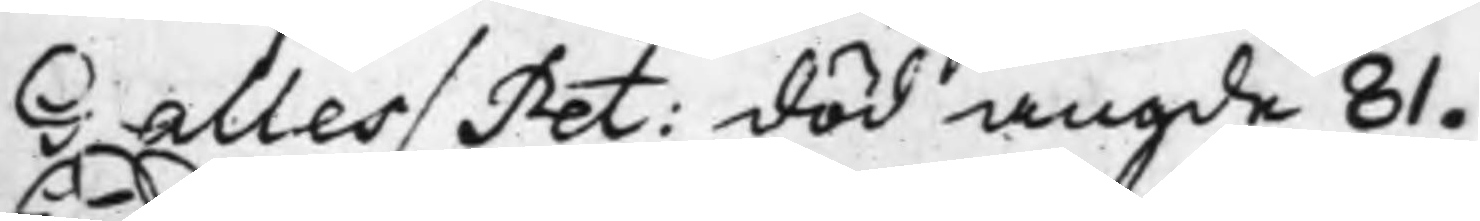Galles / Pet: död angde 81.
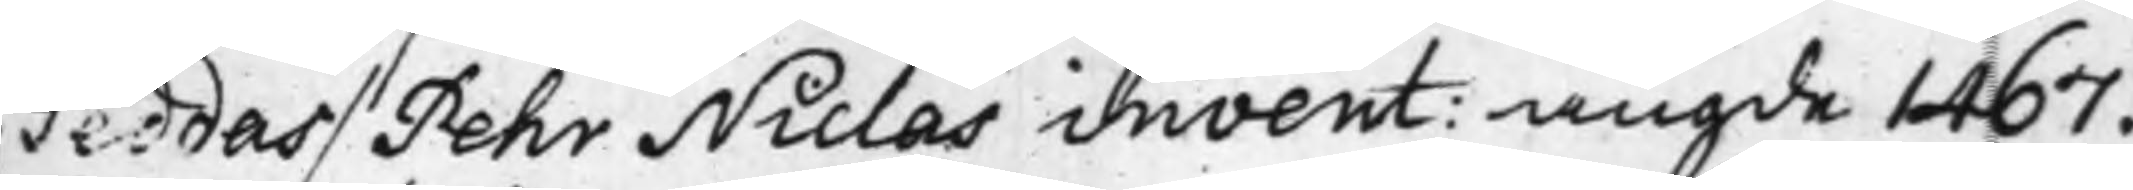Geddas / Pehr Niclas invent: angde 1467.
